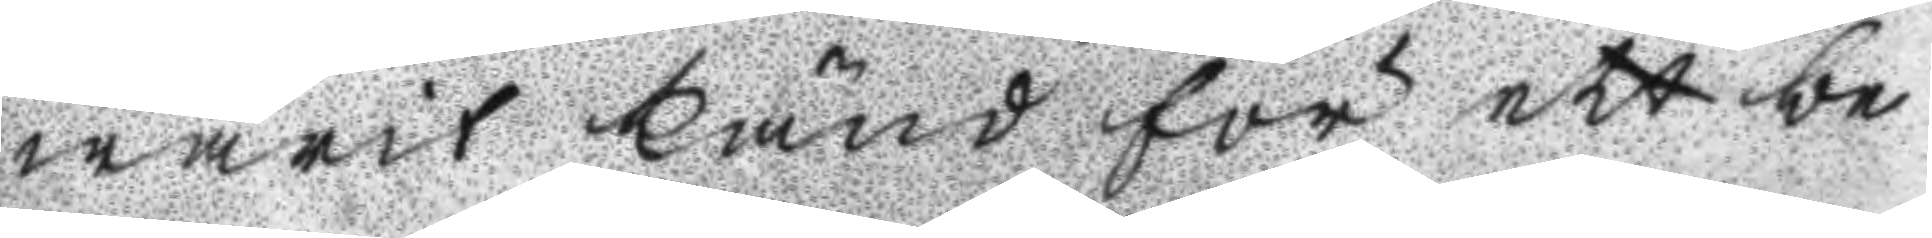warit känd för ett be
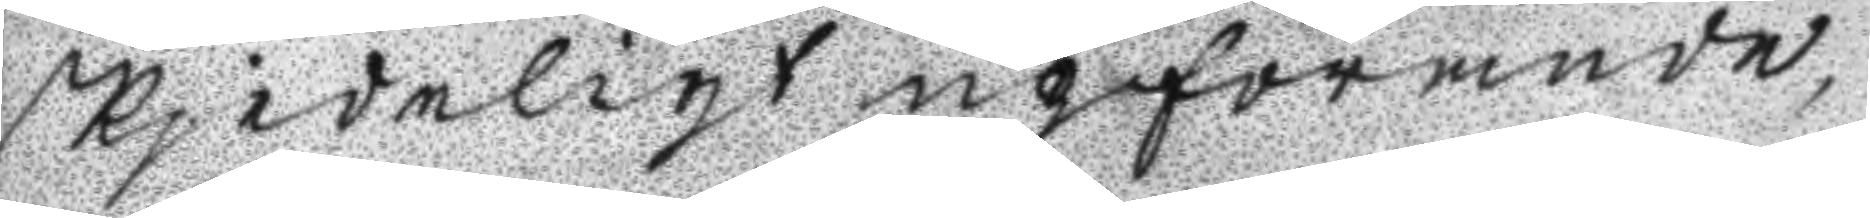skjedeligt upförande,
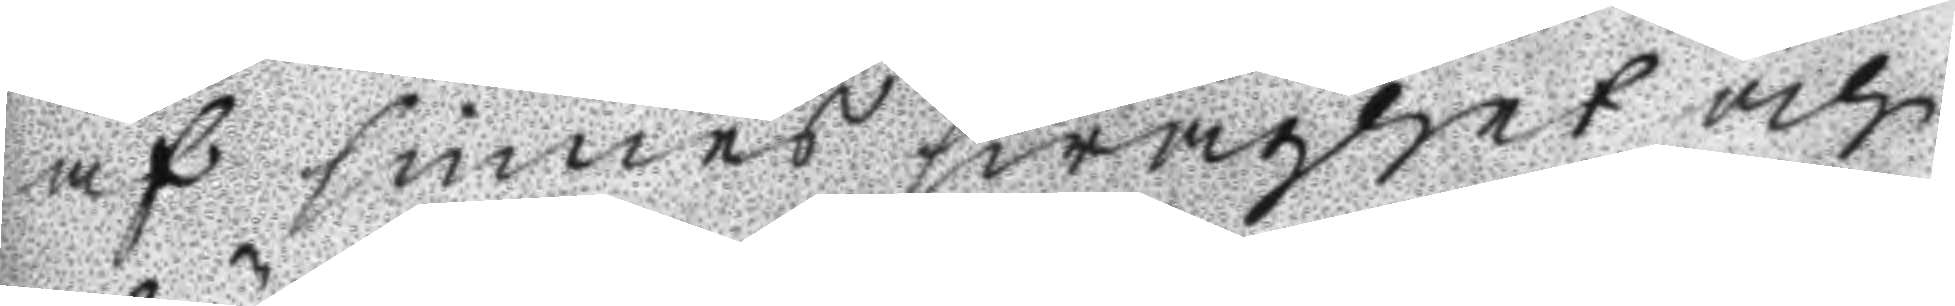af sinnes swaghet och
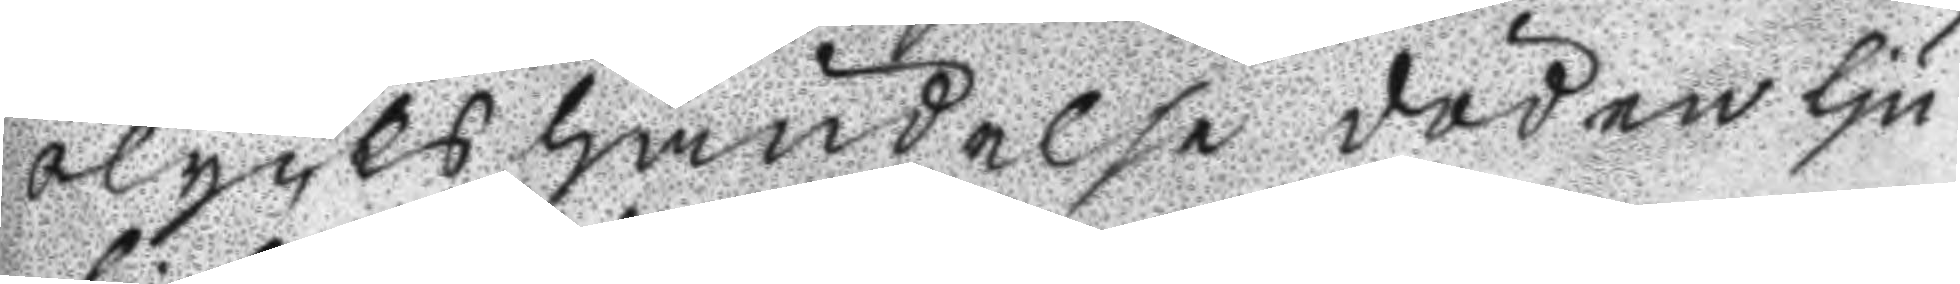olyckshändelse döden lju
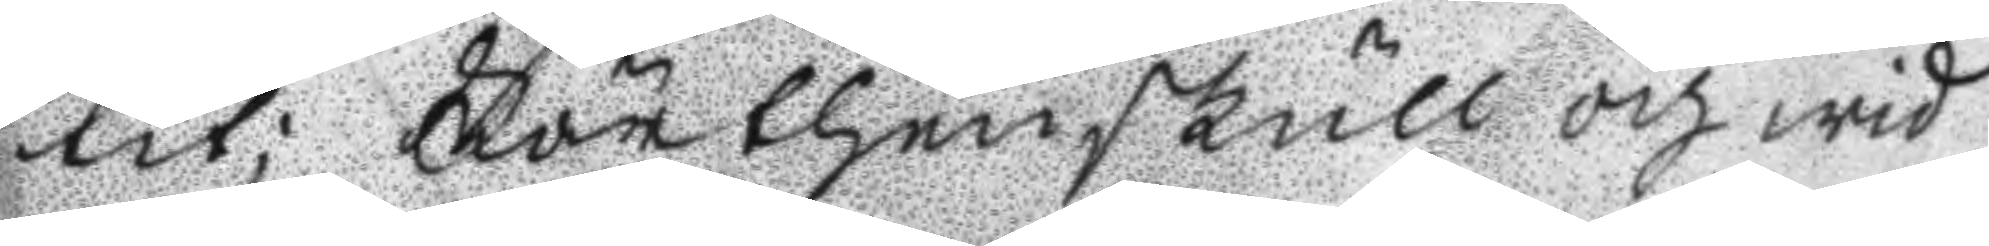tit; Förthenskull och wid
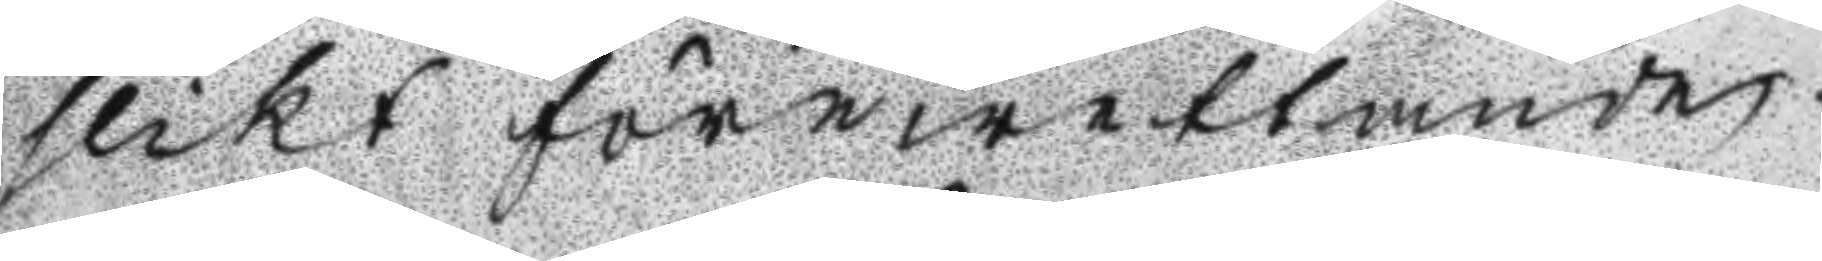slikt förewettande
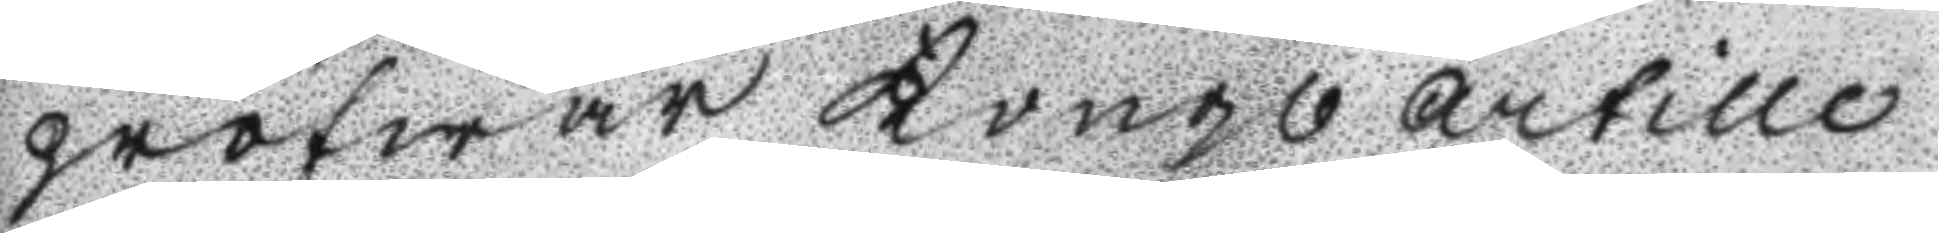pröfwar Kongl. Artille
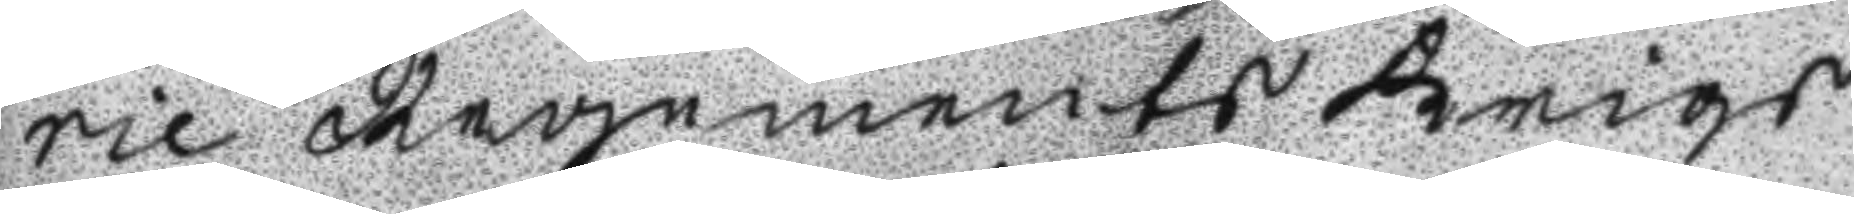rie Regements Krigs
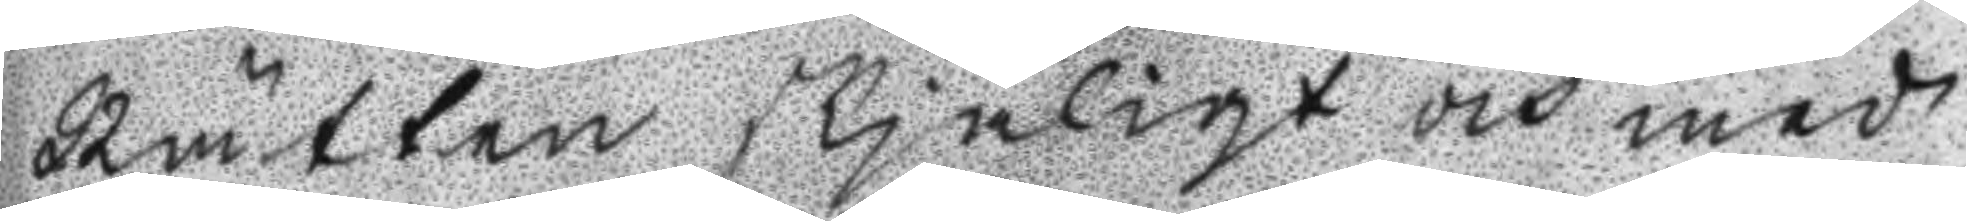Rätten skjäligt och med
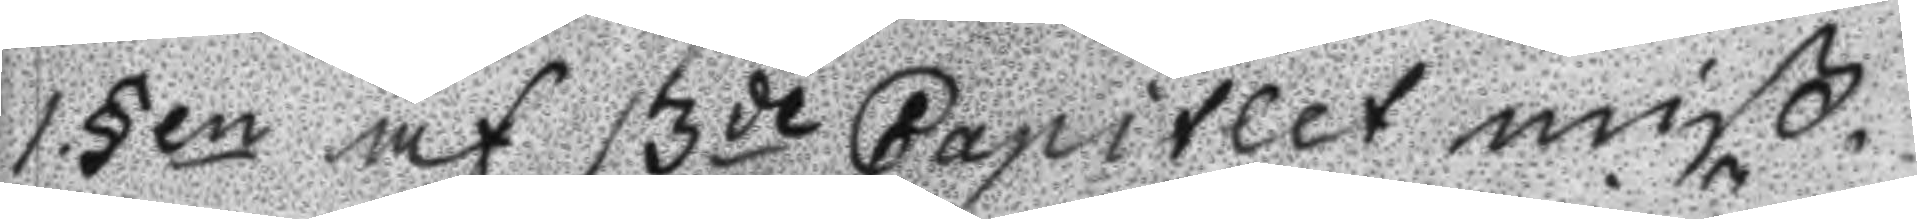1.§en af 13de Capitlet miß¬
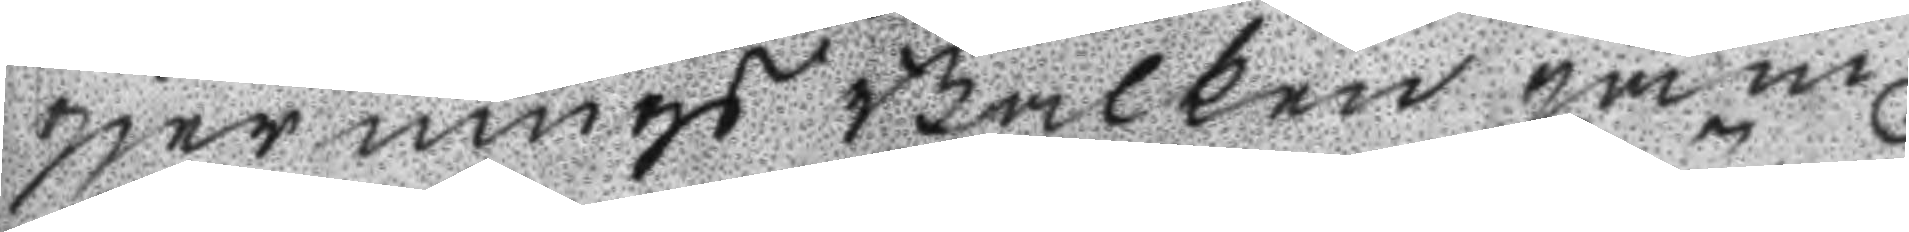gjernings Balken jäm
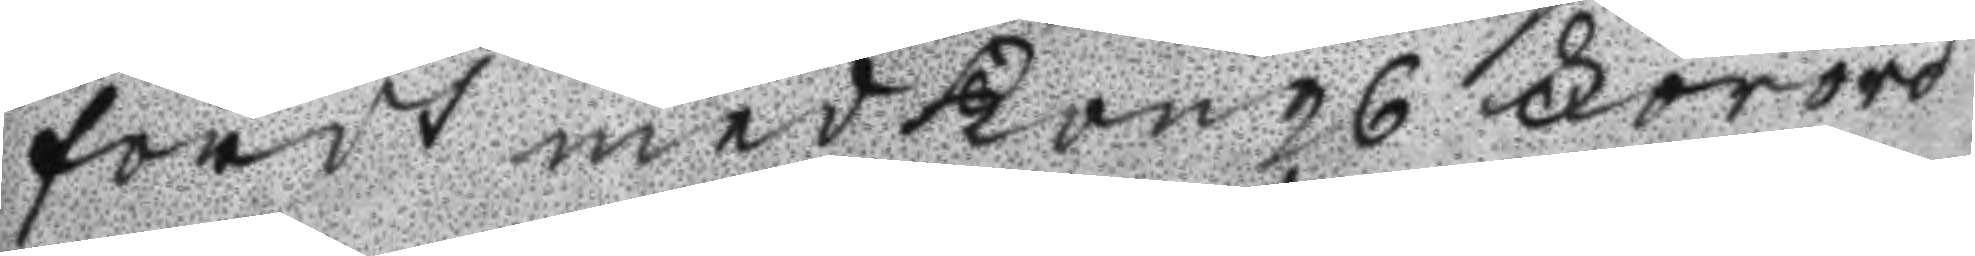fördt med Kongl Förord
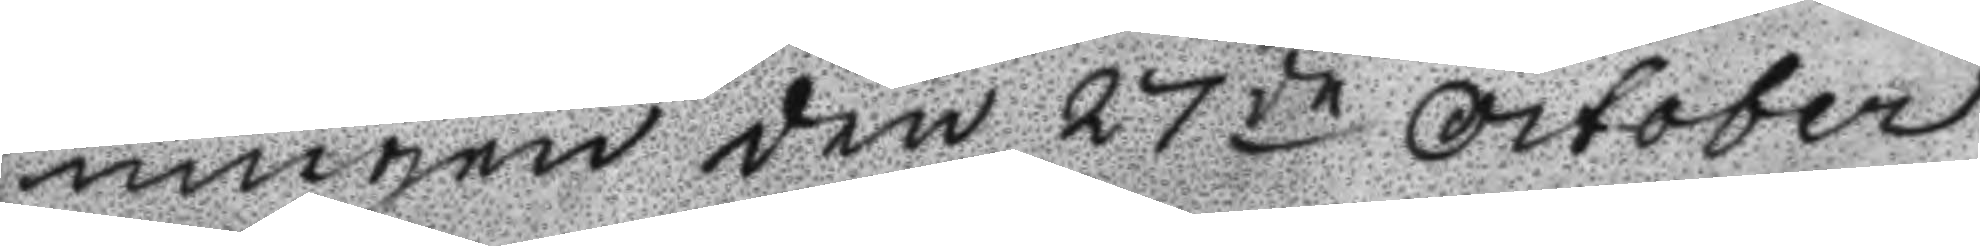ningen den 27de October
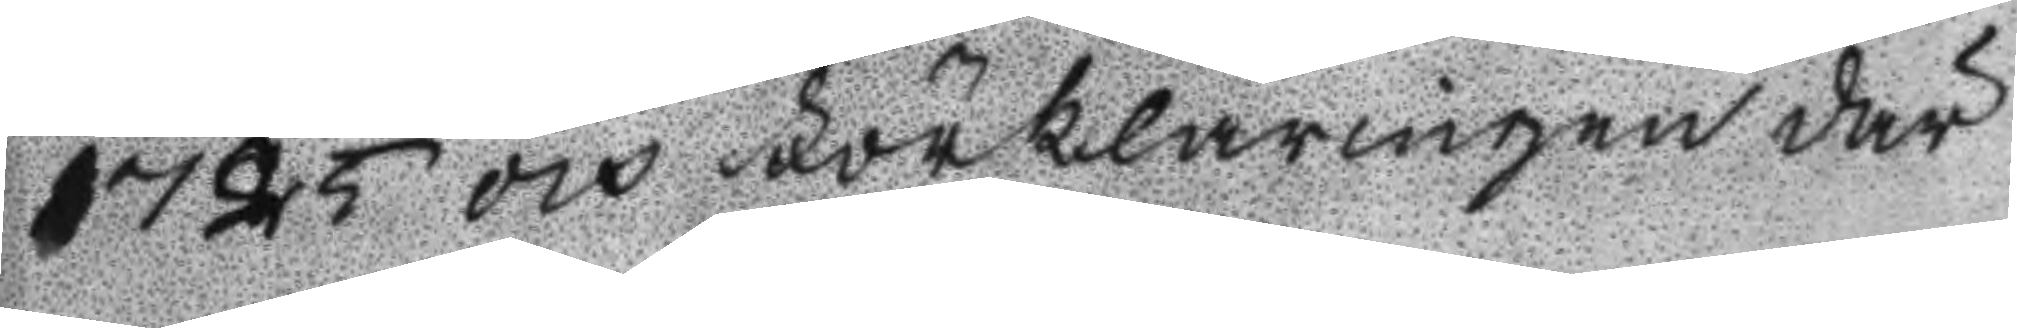1725 och Förklaringen där
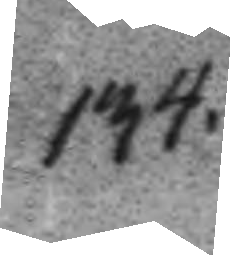134.
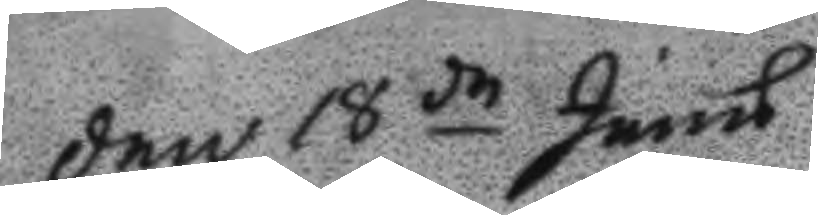Den 18de Junu
